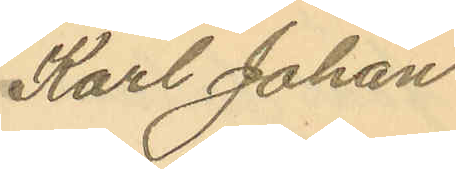Karl Johan
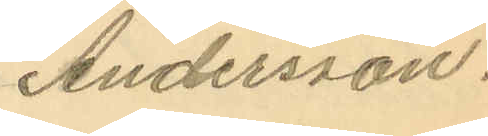Andersson.
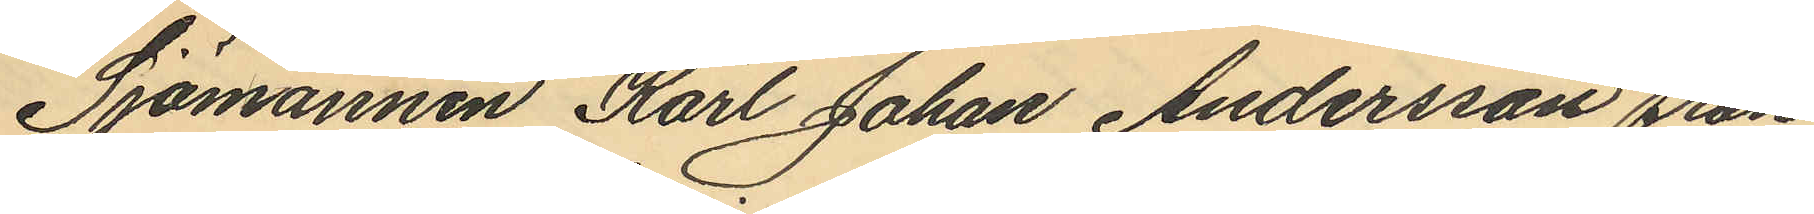Sjömannen Karl Johan Andersson från
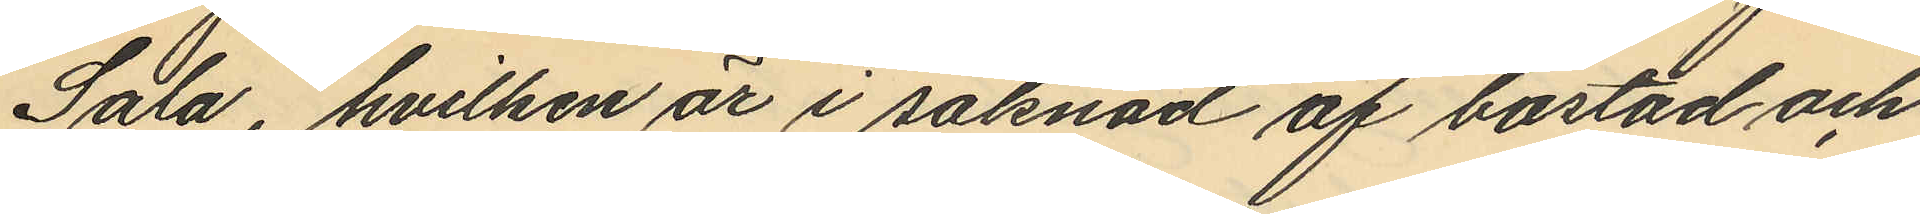Sala, hvilken är i saknad af bostad och
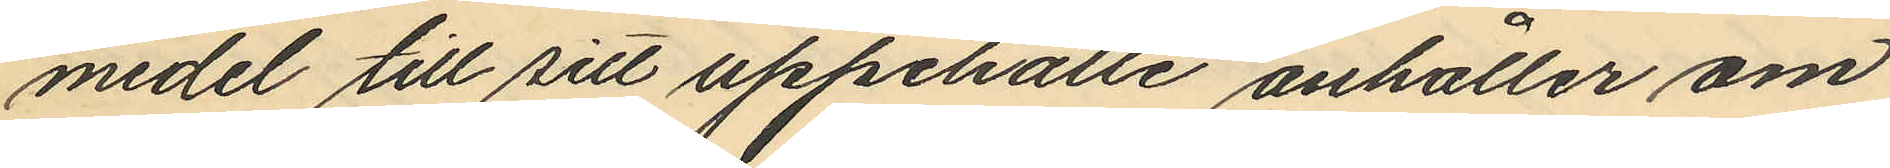medel till sitt uppehälle anhåller om
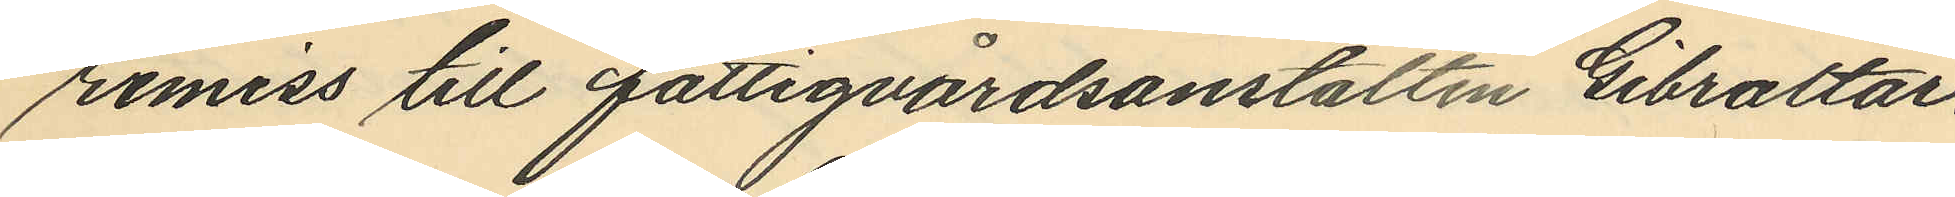remiss till fattigvårdsanstalten Gibraltar
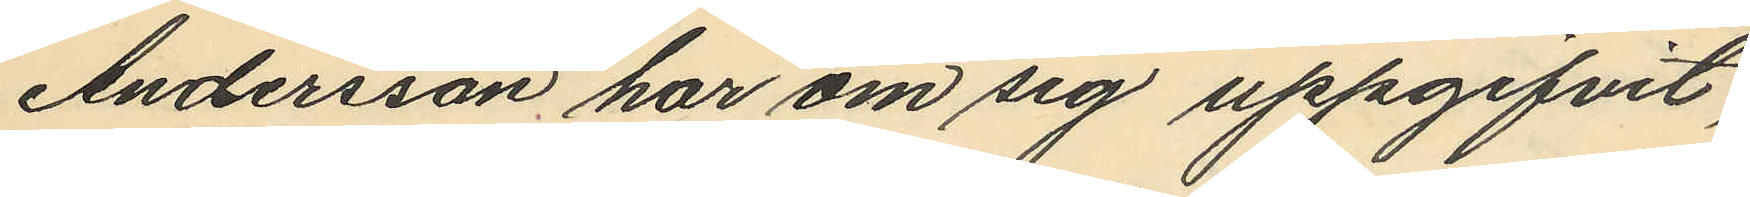Andersson har om sig uppgifvit,
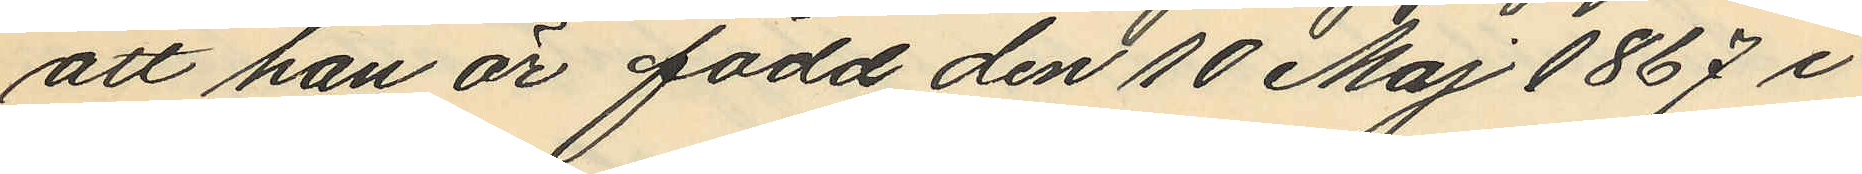att han är född den 10 Maj 1867 i
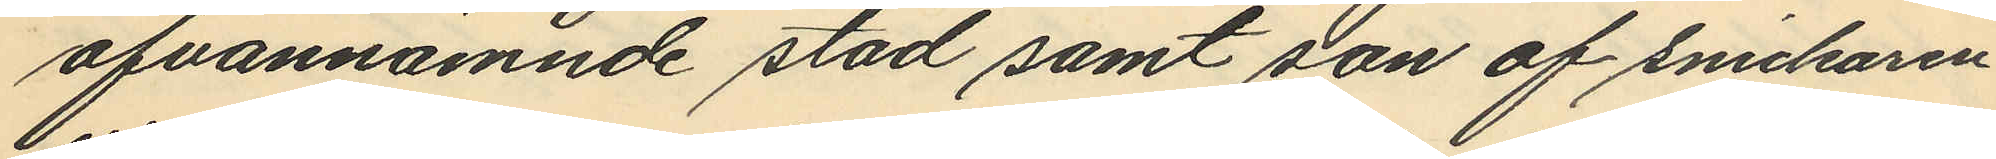ofvannämnde stad samt son af snickaren
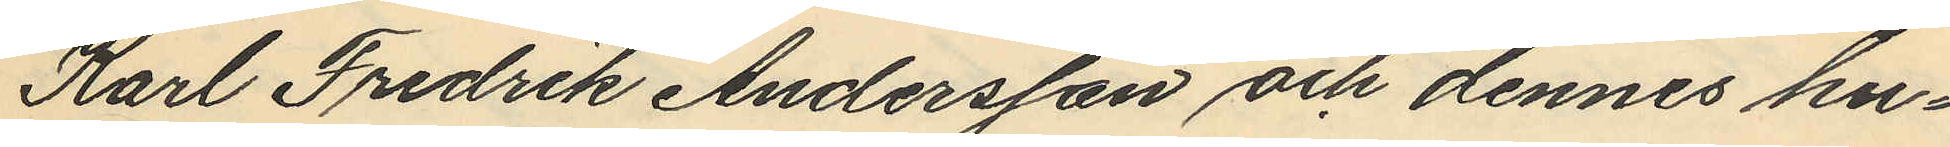Karl Fredrik Andersson och dennes hu¬
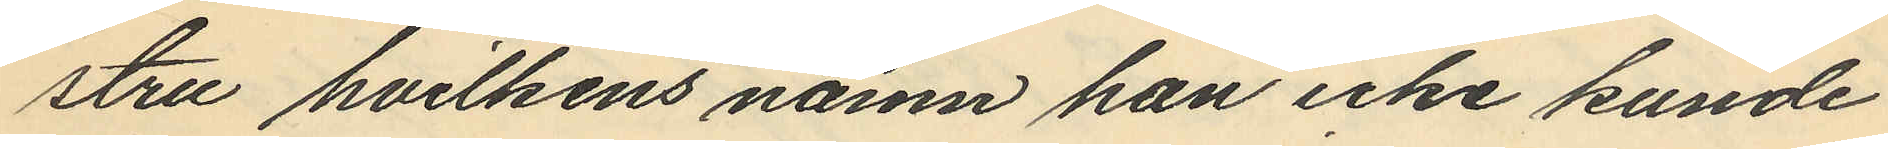stru hvilkens namn han icke kunde
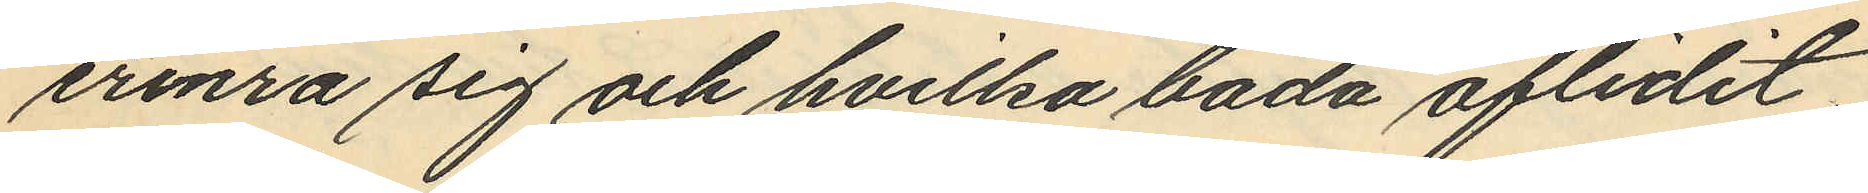erinra sig och hvilka båda aflidit
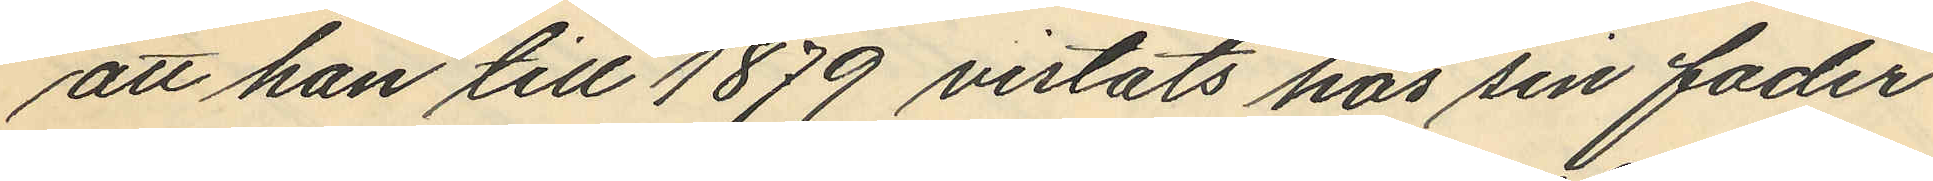att han till 1879 vistats hos sin fader
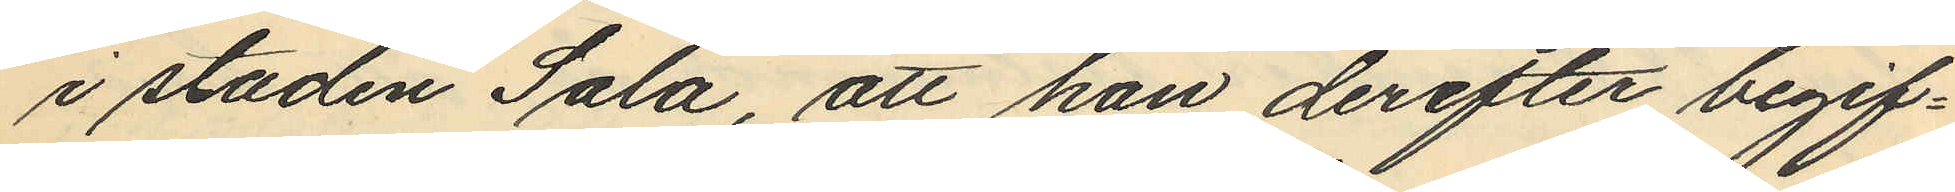i staden Sala, att han derefter begif¬
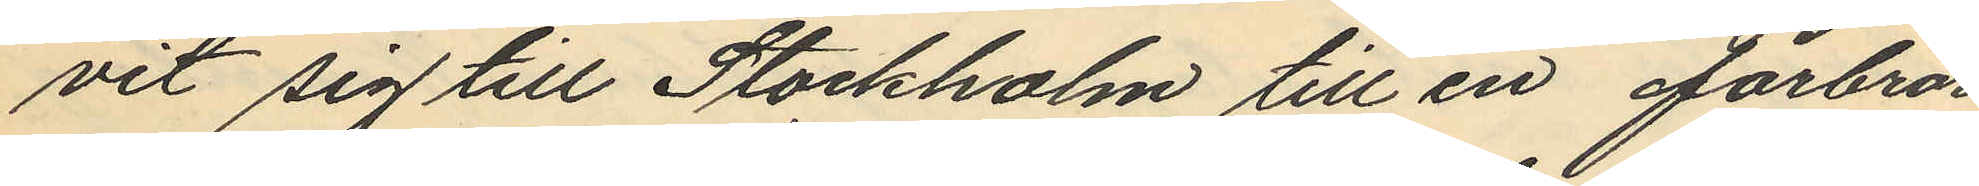vit sig till Stockholm till en farbror
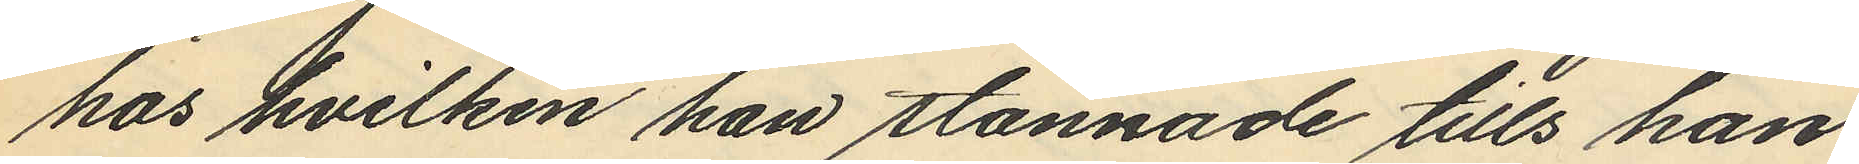hos hvilken han stannade tills han
